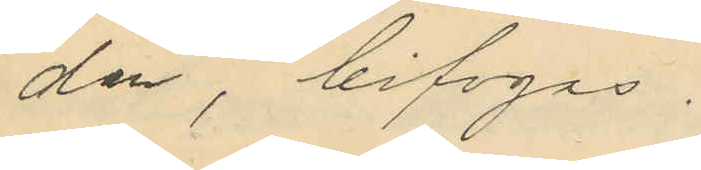den, bifogas.
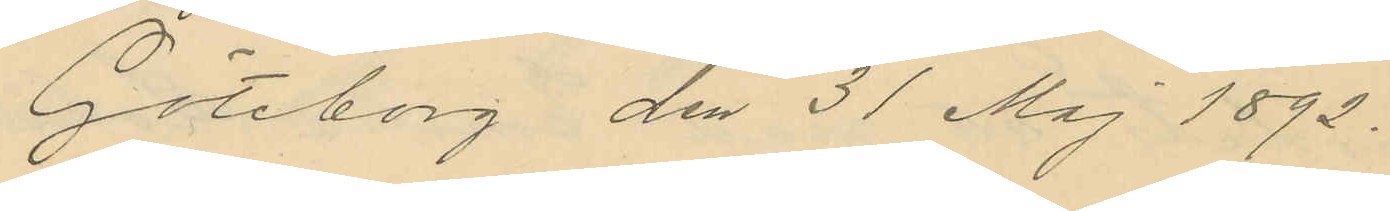Göteborg den 31 Maj 1892.
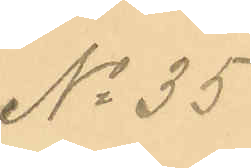No 35.
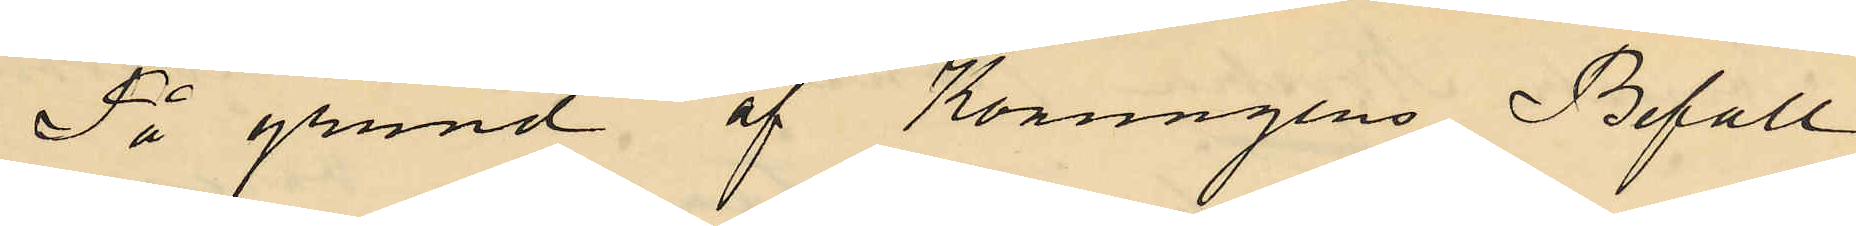På grund af Konungens Befall
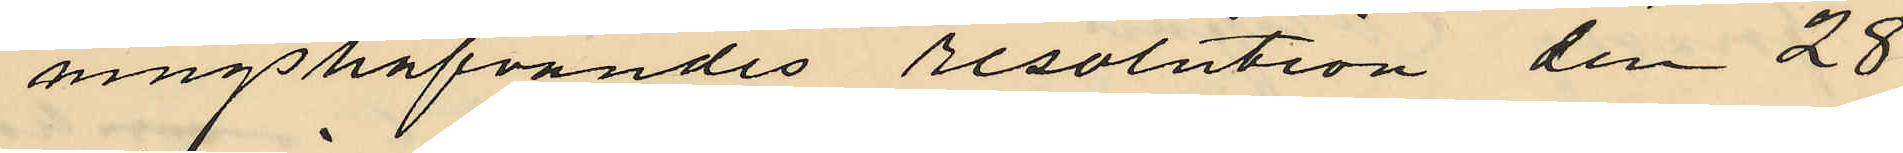ningshafvandes resolution den 28
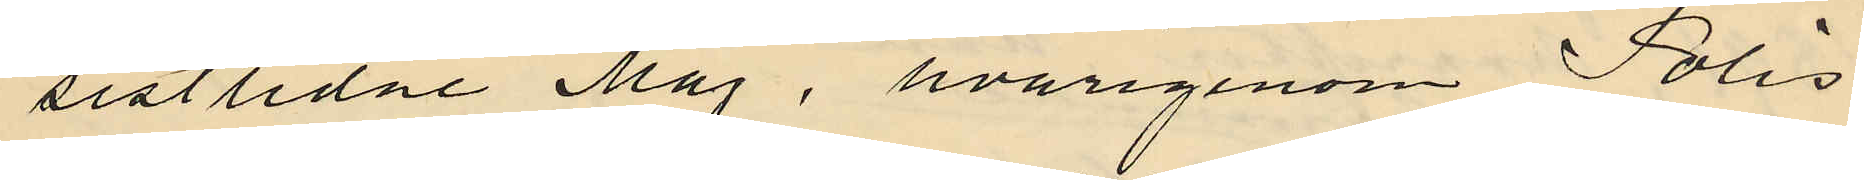sistlidne Maj, hvarigenom Polis
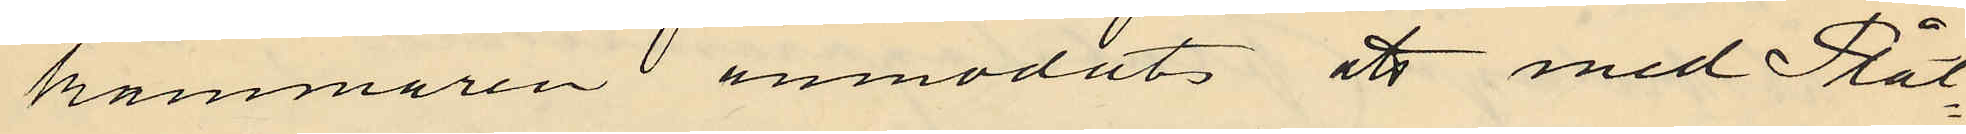kammaren anmodats att med Plåt¬
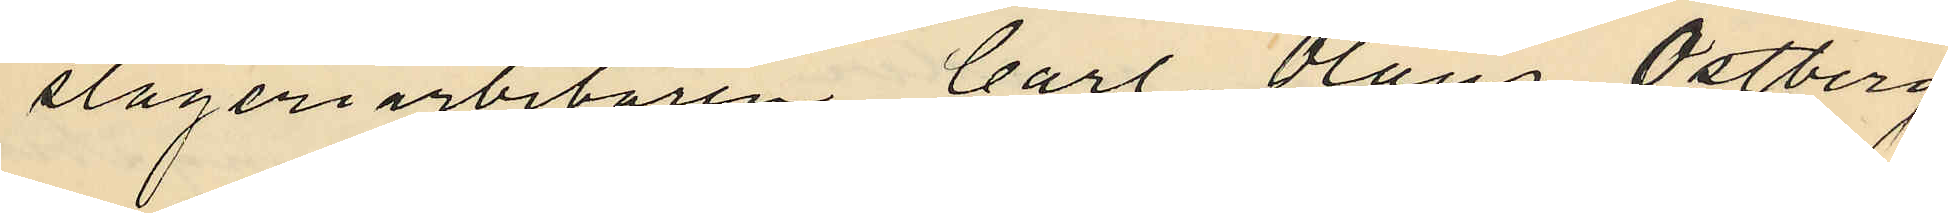slageriarbetaren Carl Olaus Ostberg
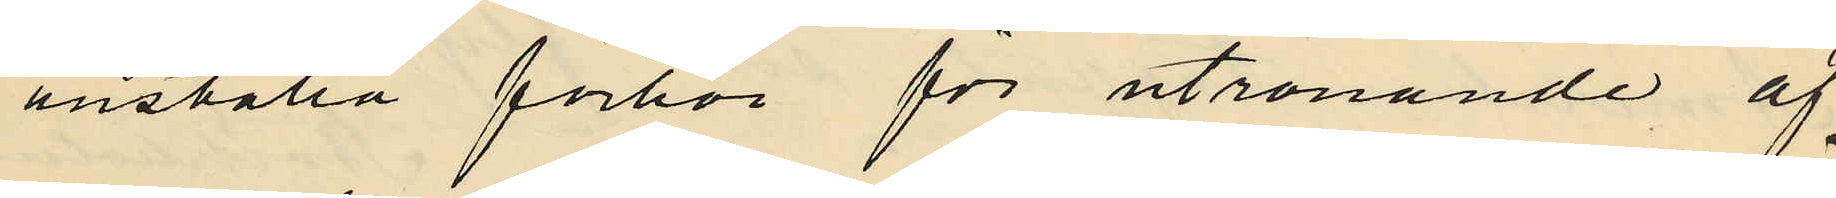anställa förhör för utrönande af
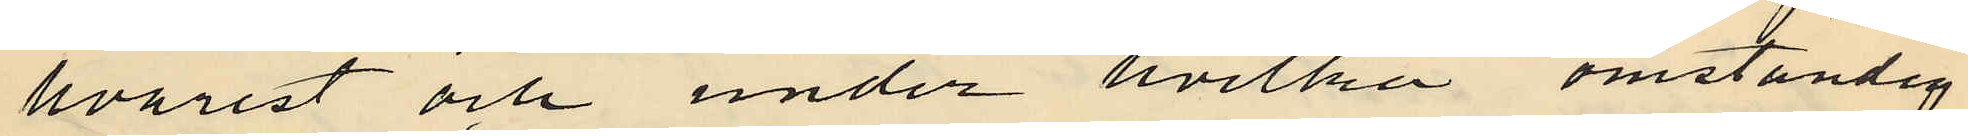hvarest och under hvilka omständig
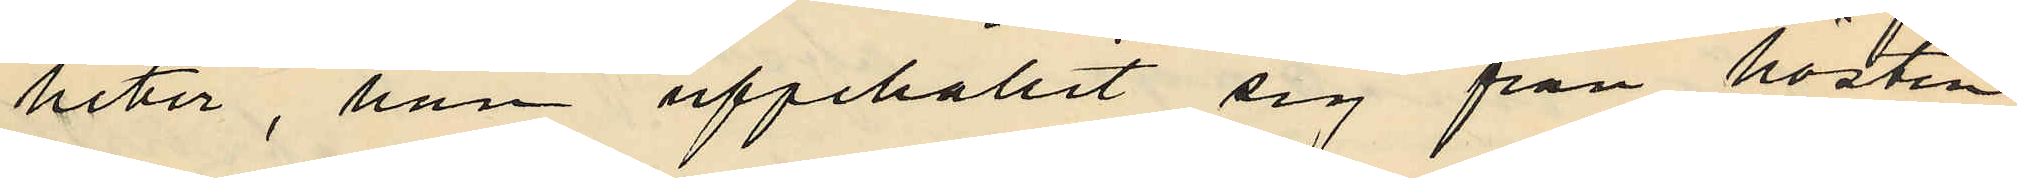heter, han uppehållit sig från hösten
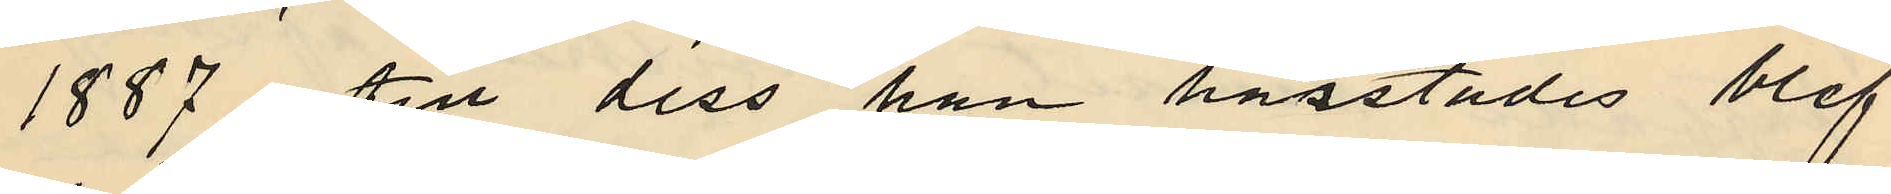1887 till dess han härstädes blef
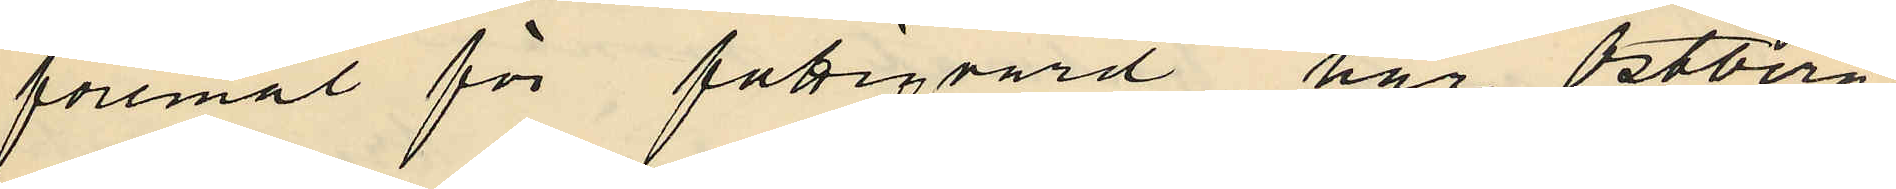föremål för fattigvård har Ostberg
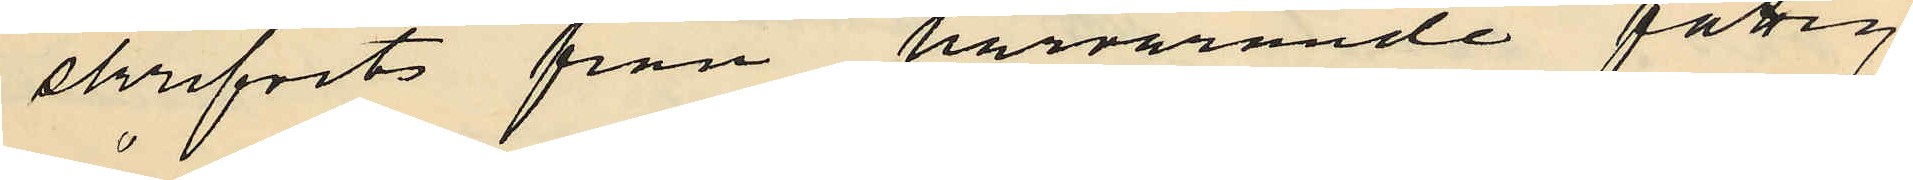skrifvits från härvarande fattig¬
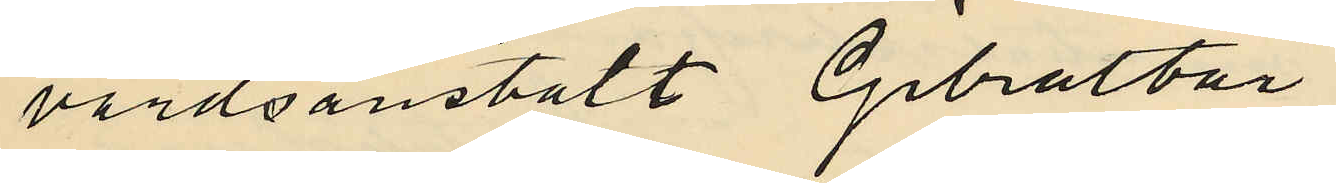vårdsanstalt Gibraltar
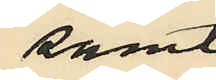samt
